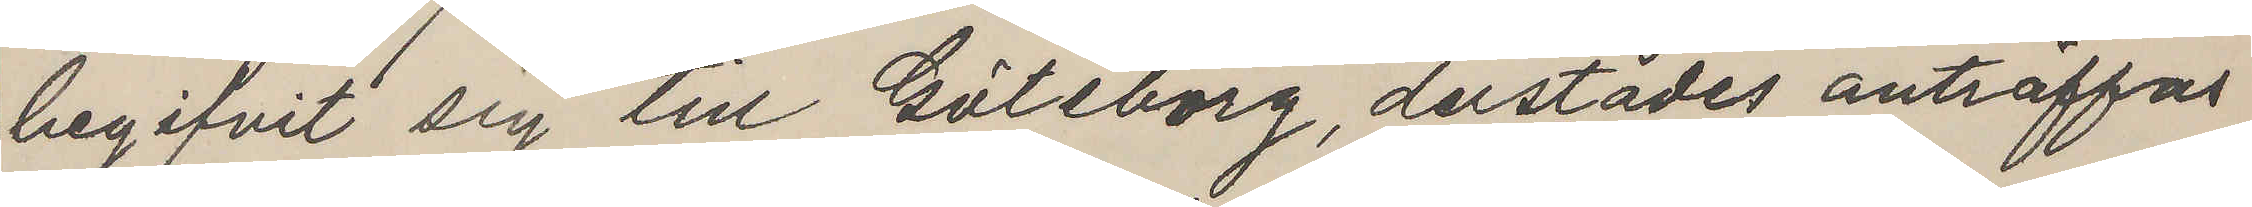begifvit sig till Göteborg, derstädes anträffas
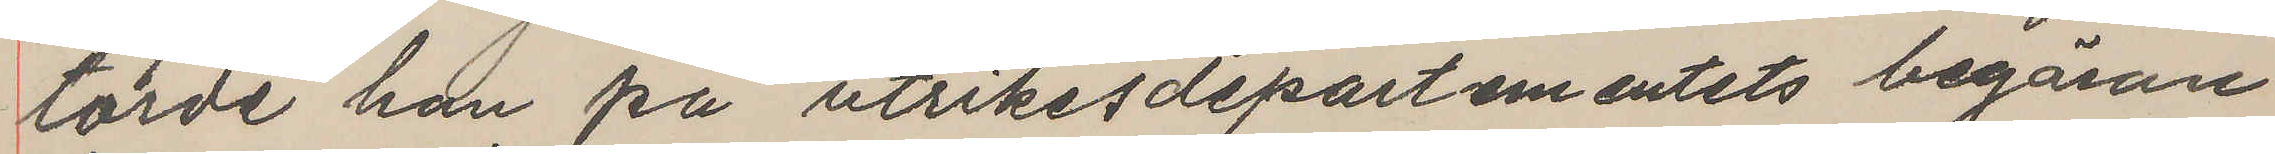torde han på utrikesdepartementets begäran
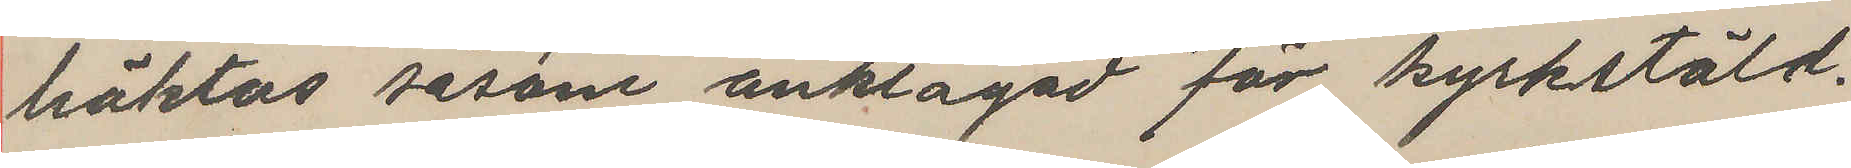häktas såsom anklagad för kyrkstöld.
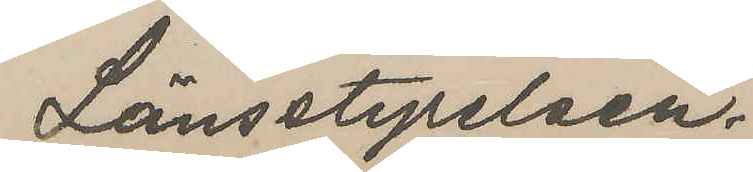Länsstyrelsen.
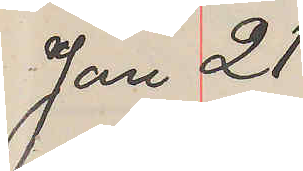Jan 21
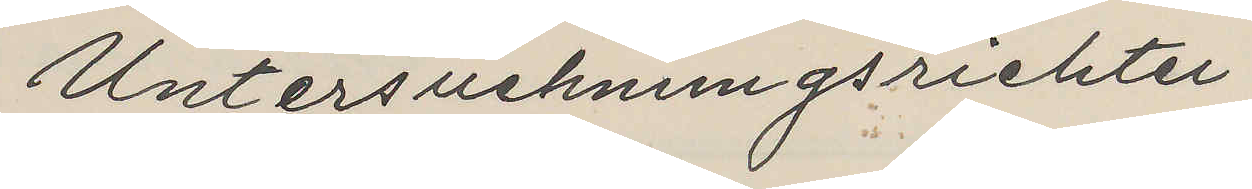Untersuchnungsriehter
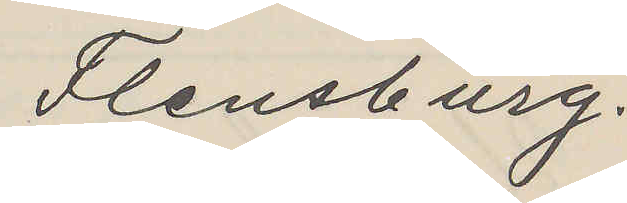Flensburg.
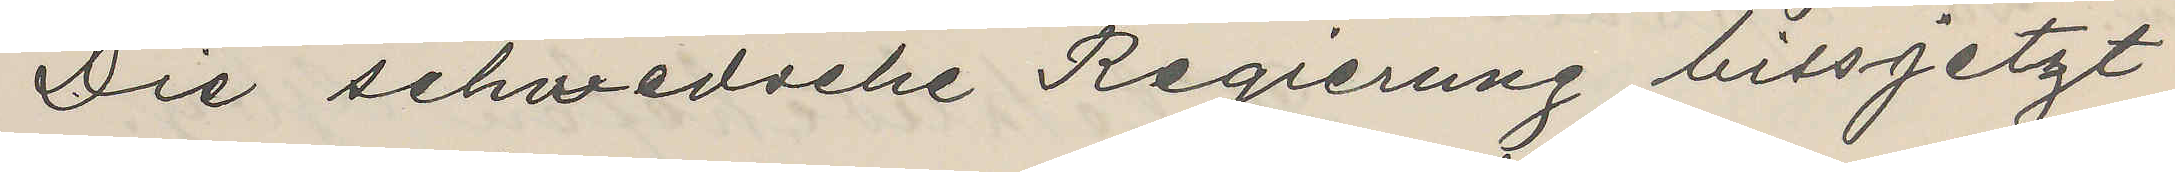Die schwedsche Regierung bissjetzt
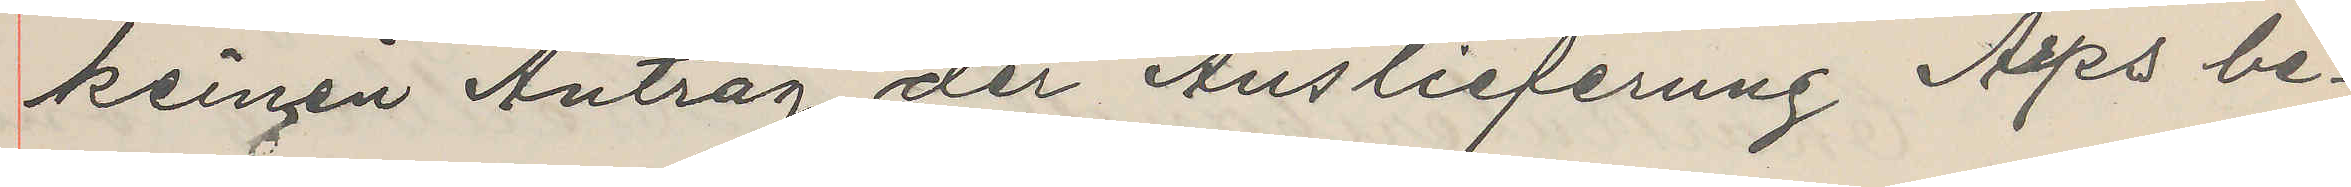keinen Antrag der Auslieferung Arps be¬
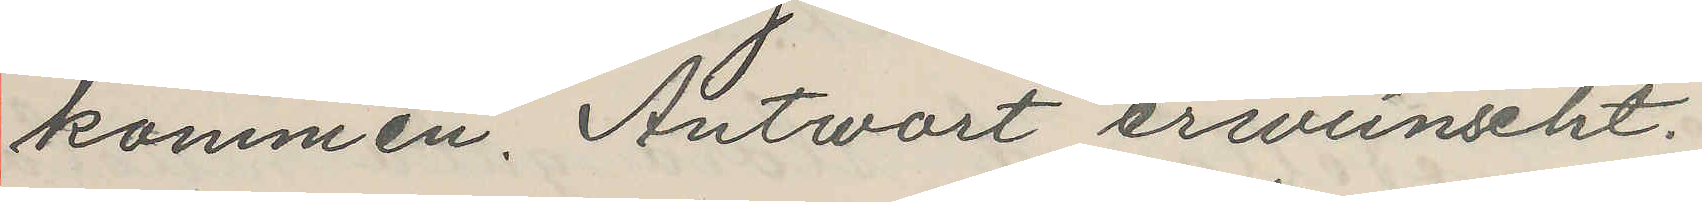kommen. Antwart erwinscht.
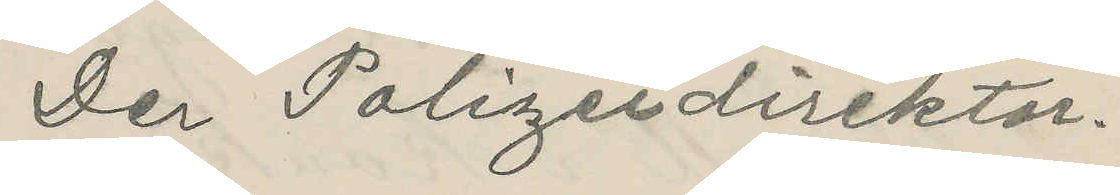Der Polizeidirektor.
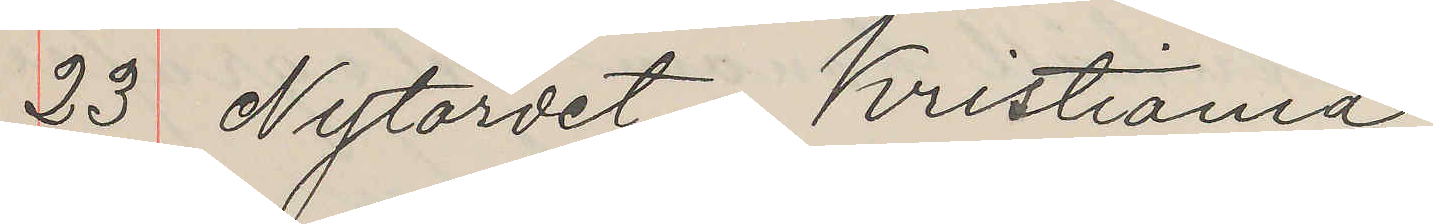23 Nytordet, Kristiania
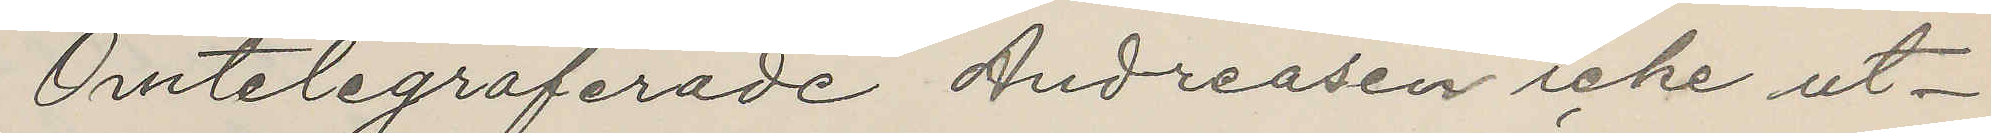Omtelegraferade Andreasen icke ut¬
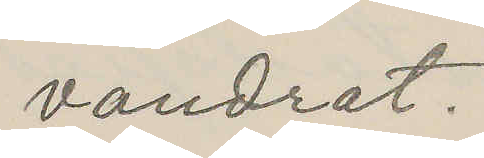vandrat.
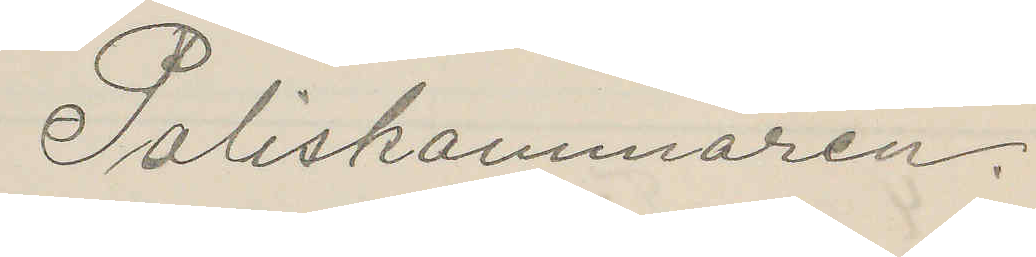Poliskammaren.
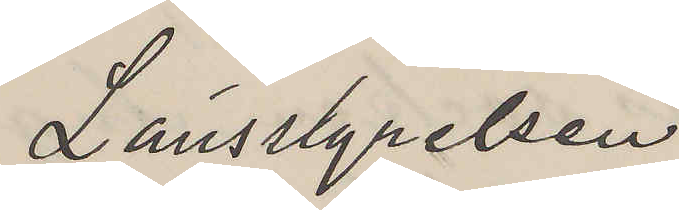Länsstyrelsen
